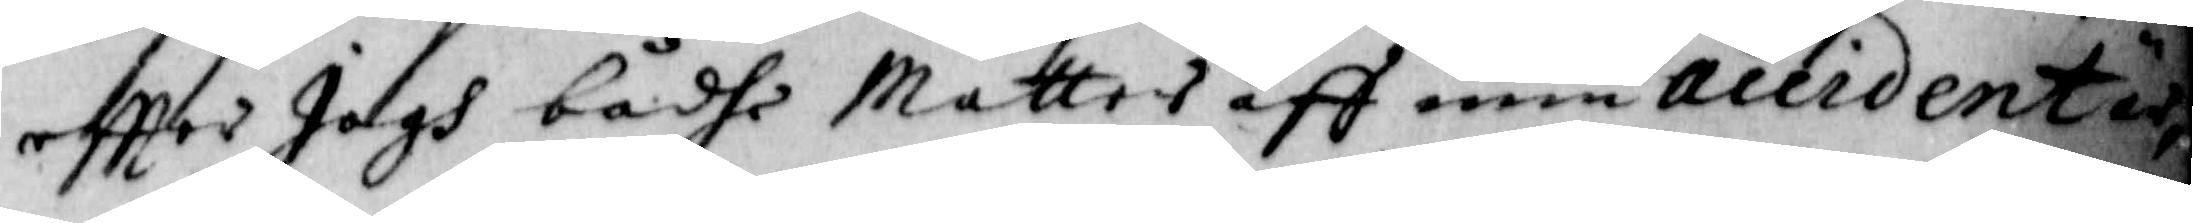effter Jagh bådhe Mattes aff min Accidente
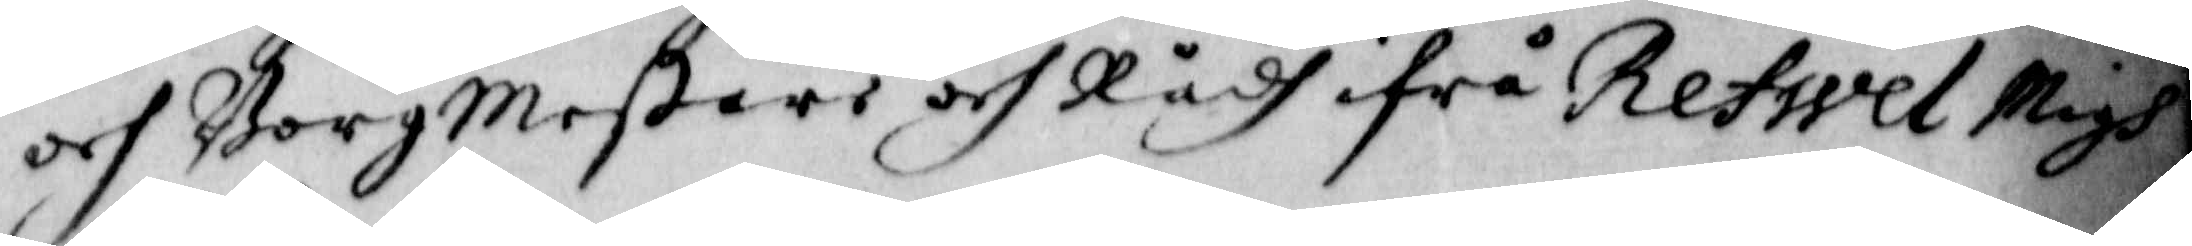och BorgMestare och Rådh ifrå Refwel Migh
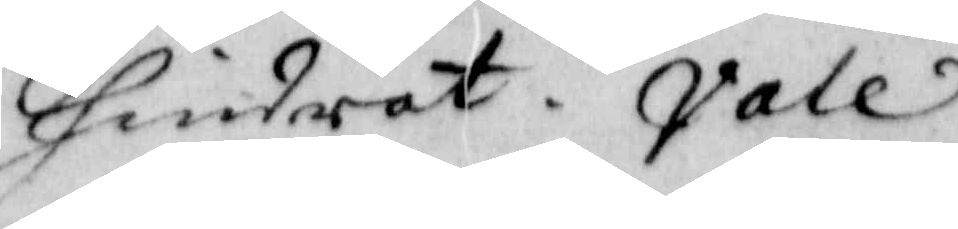hindrat. Vale
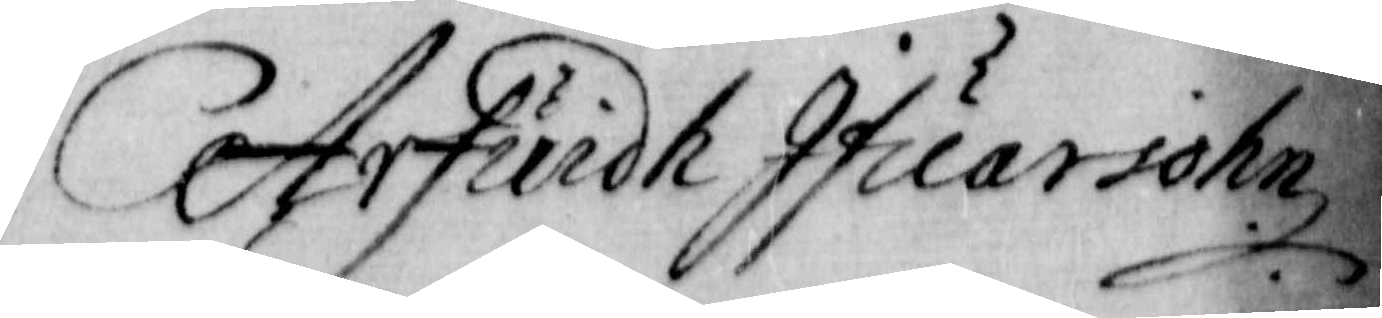Arfuidh Ifuarsohn.
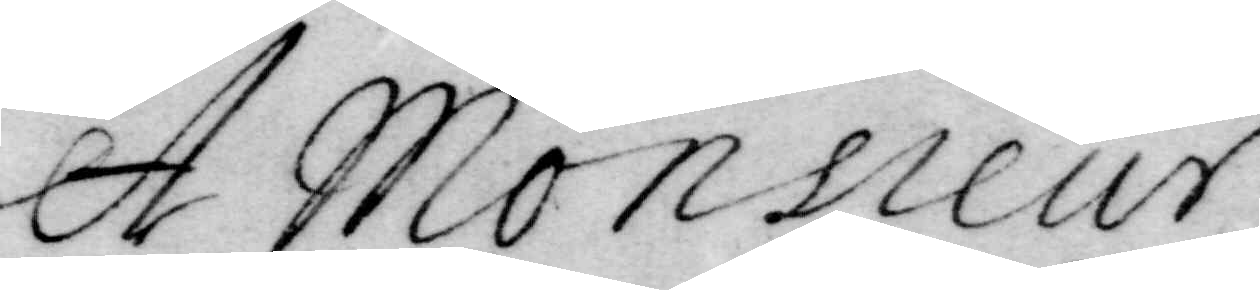A Monsieur
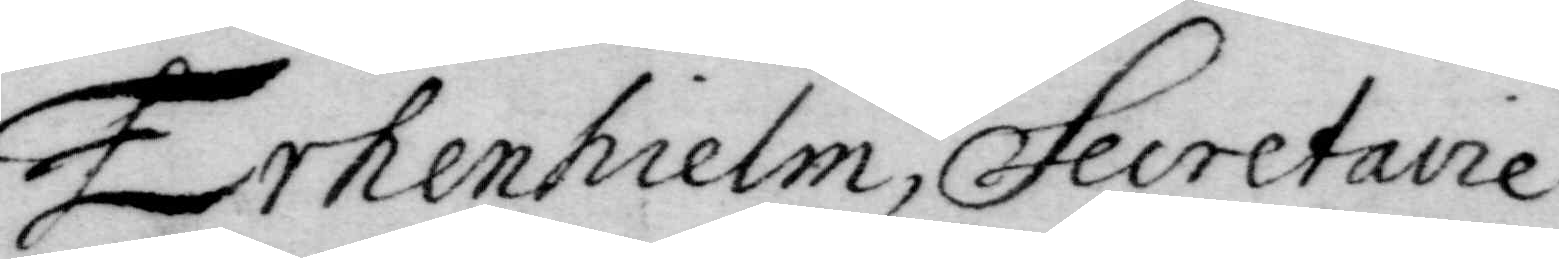Erhenhielm Secretaire
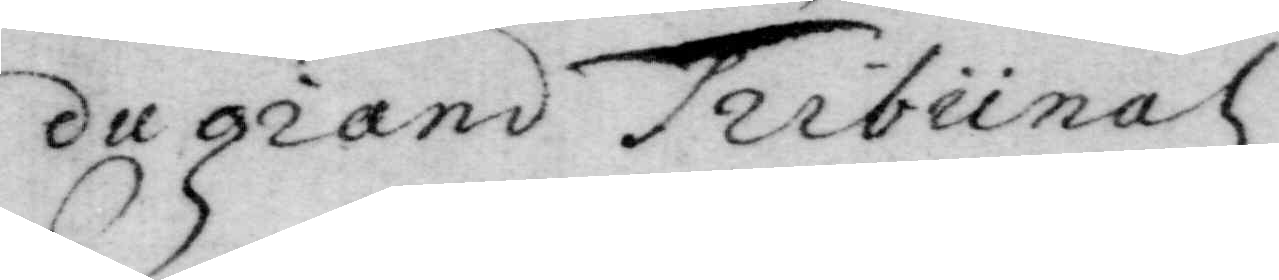du grand Trubunal
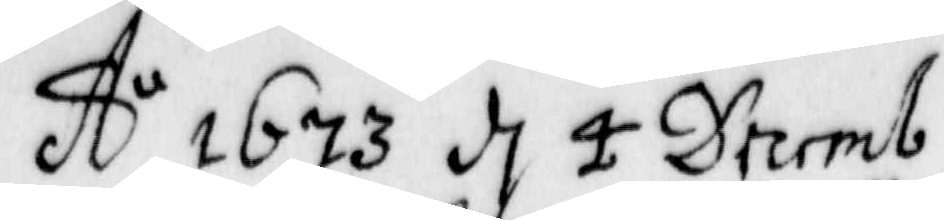A:o 1673 d. 4 Decemb
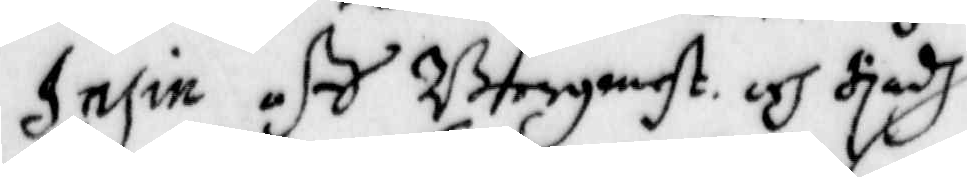Insin aff Borgmest. och Rådh
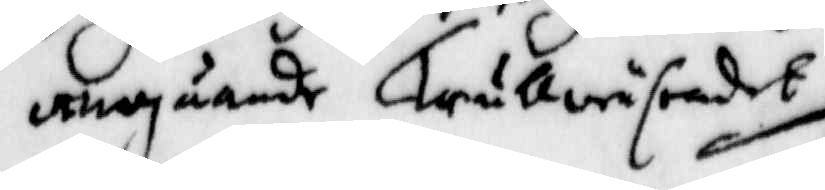angående Trullwäsendet
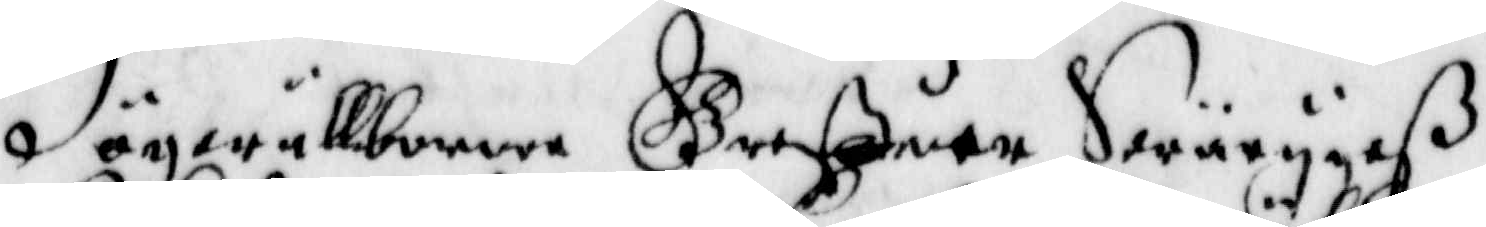Högwälborne Greffwar Swärijgeß
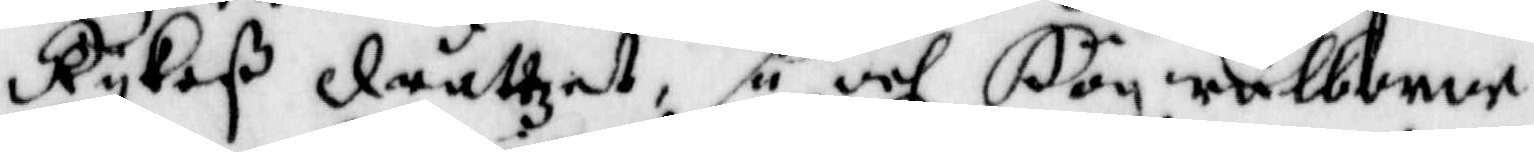Rijkeß Dråttzet, så och Högwälborne
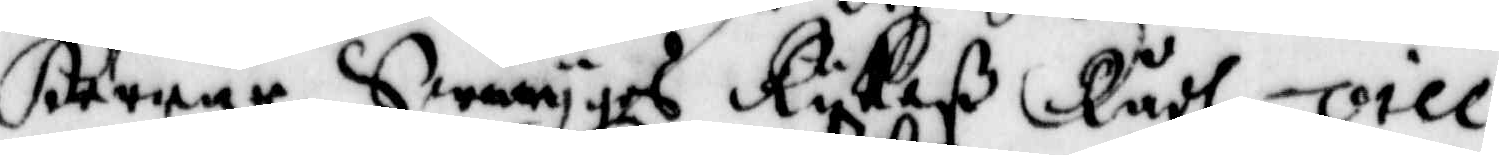Herrar Swerijges Rijkeß Rådh, vice
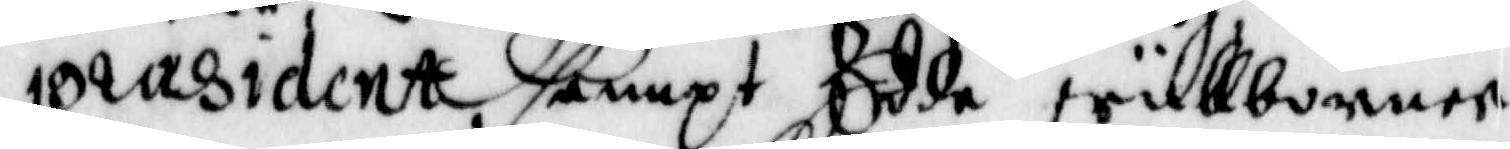praesident sampt Edde wällborne
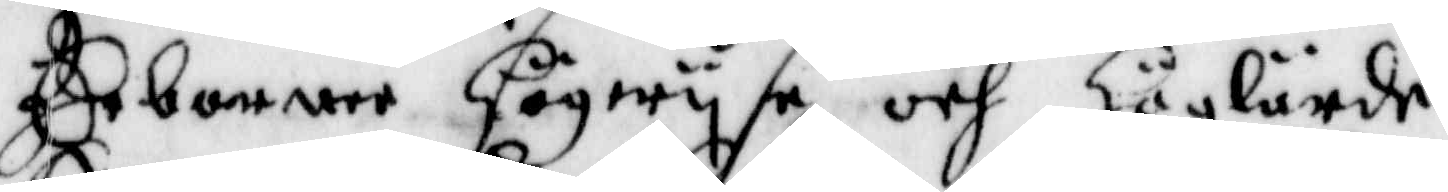Erborner högwijse och höglärde
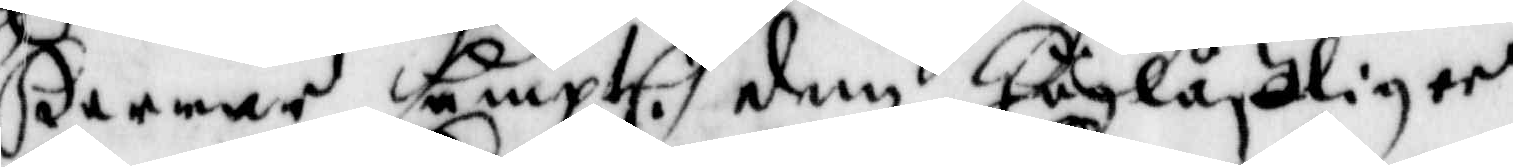Herrar Sampt. den höglåffliger
